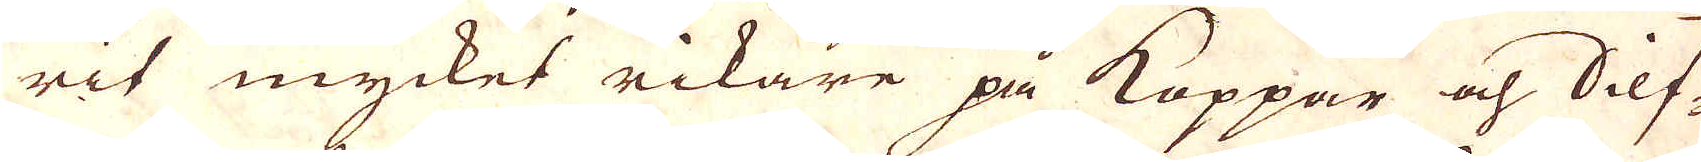rit mycket rikare på Koppar och Silf-
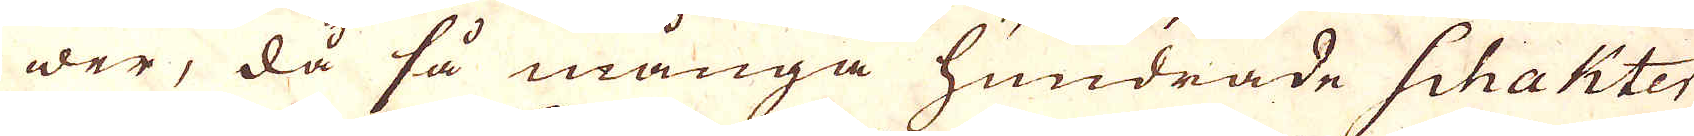wer, då så många hundrade Schakter
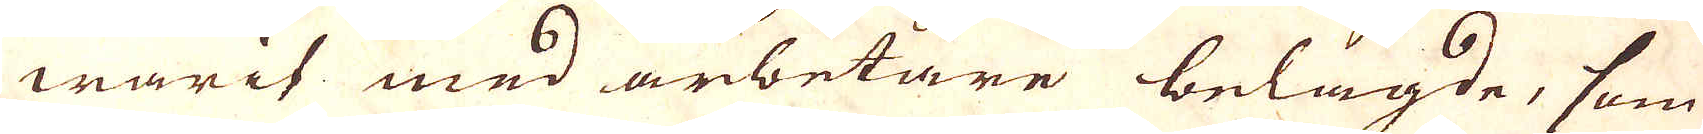warit med arbetare belagde, som
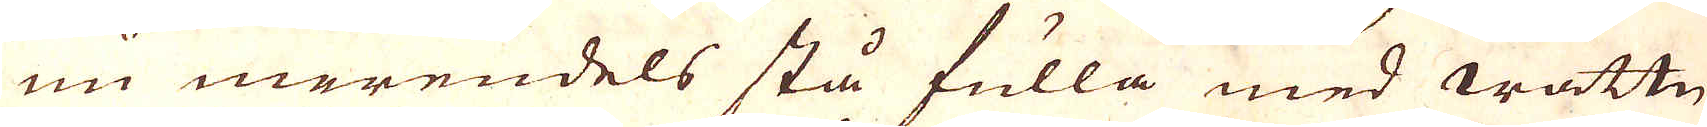nu merendels stå fulla med wattn
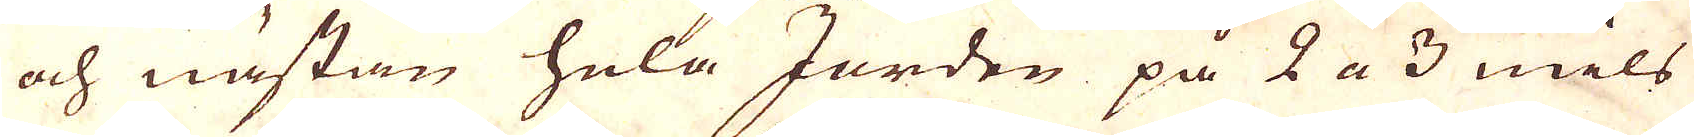och nästan hela Jorden på 2 a 3 mils
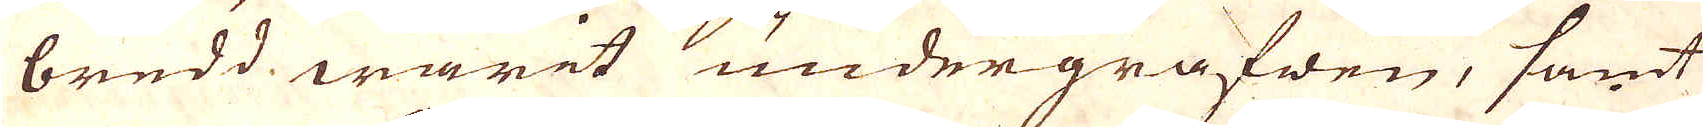bredd warit undergrafwen, samt
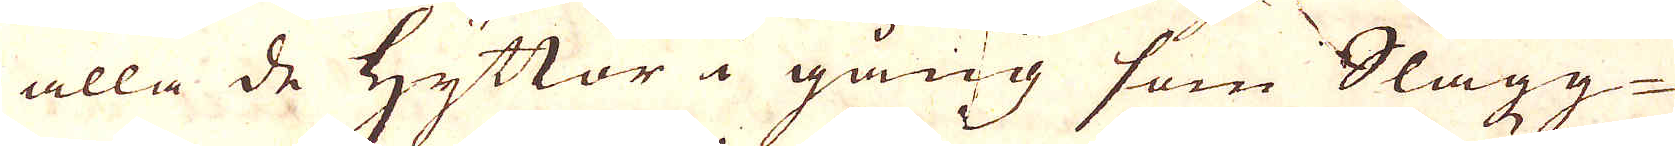alla de Hyttor i gång som Slagg-
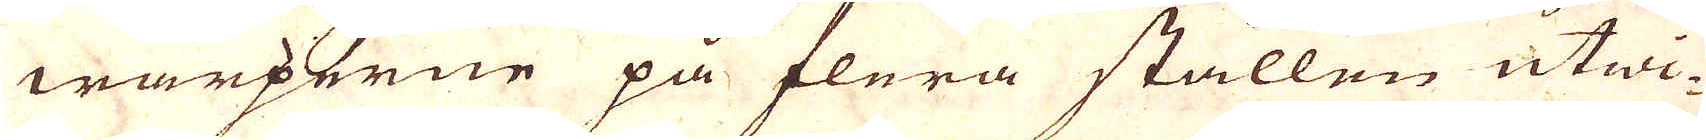warperne på flera ställen utwi-
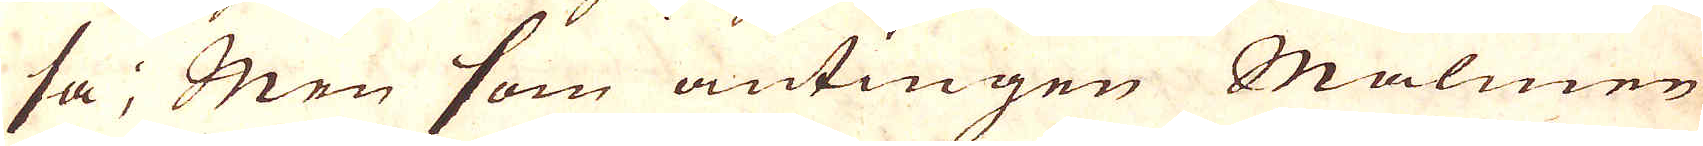sa; Men som antingen Malmen
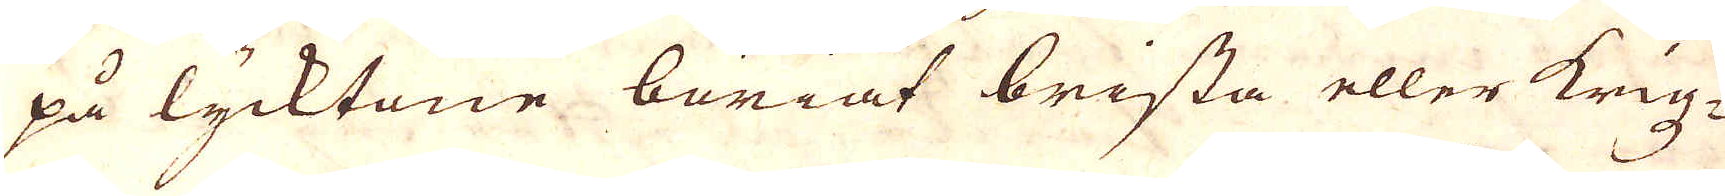på lycktane böriat brista eller krigz-
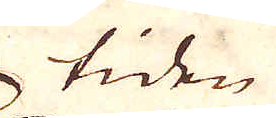tiden
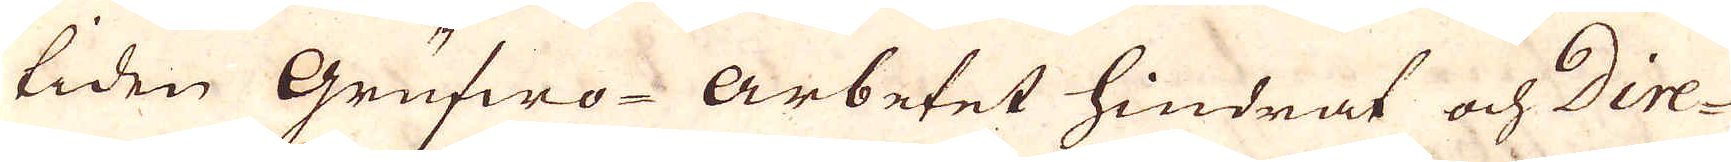tiden grufwo-Arbetet hindrat och Dire-
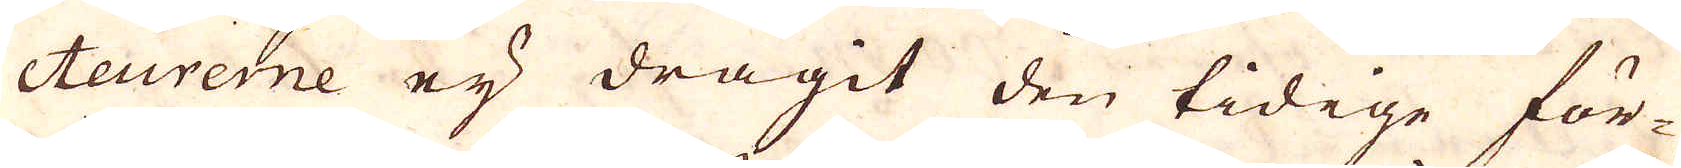cteurerne ej dragit den tidige för-
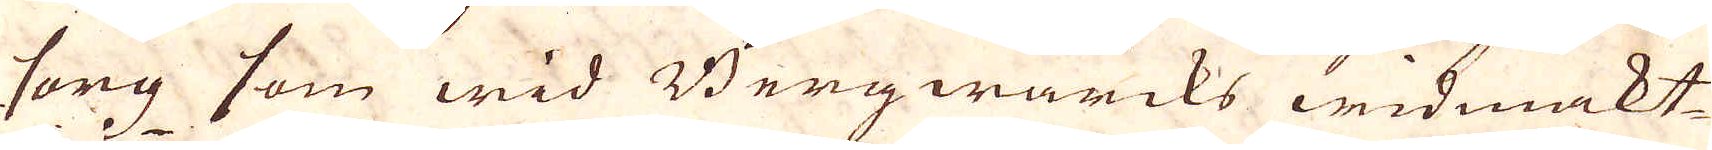sorg som wid Bergwärcks widmakt-
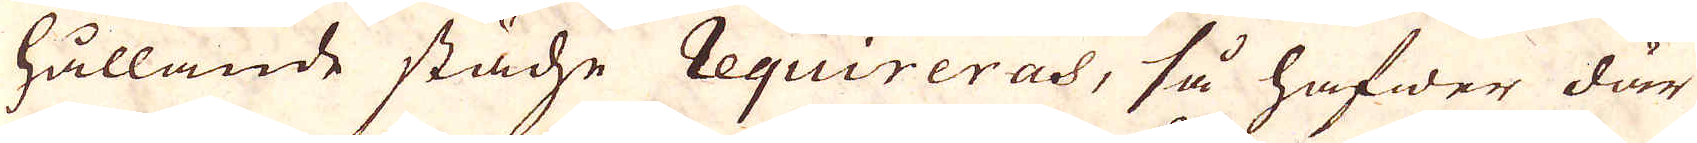hållande städse requireras, så hafwer där
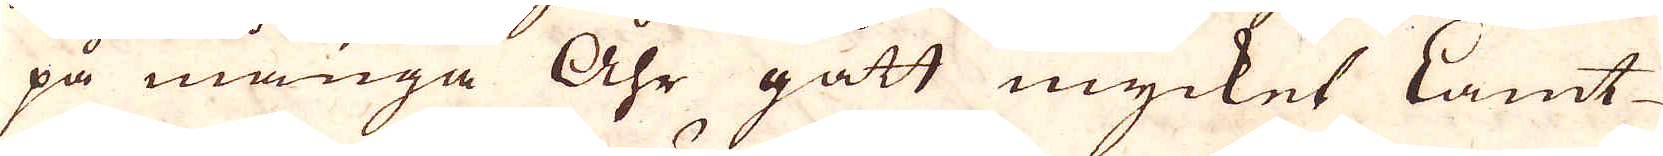på många Åhr gått mycket Lamt
